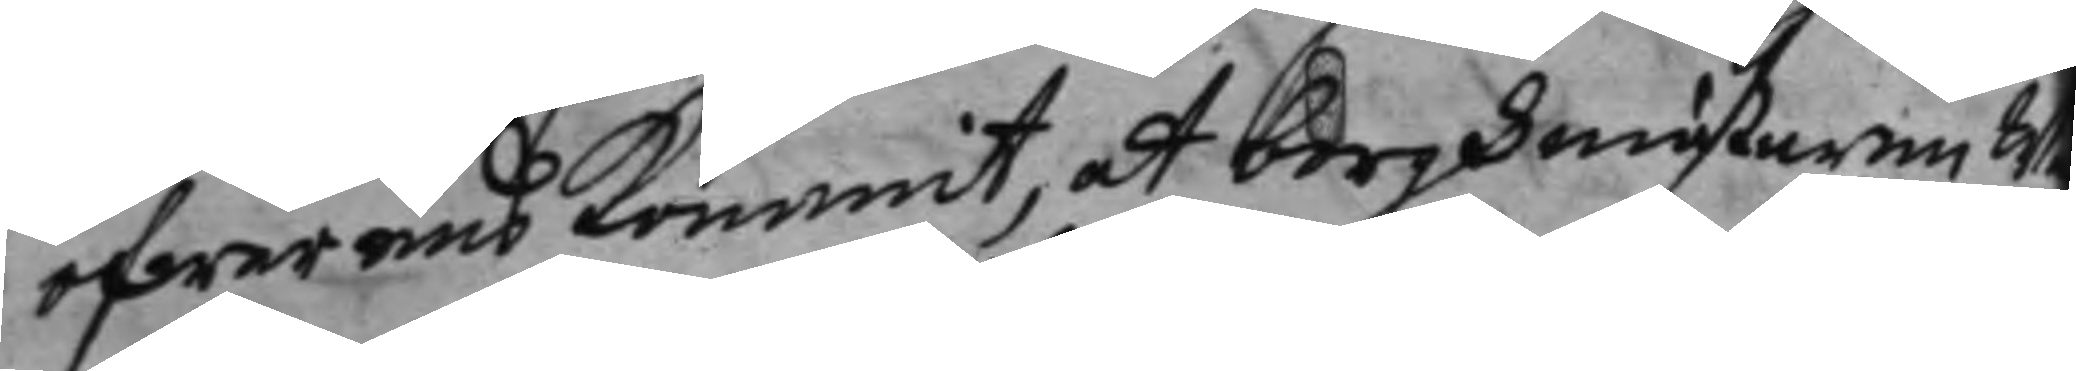öfwerens kommit, at borghmästaren W
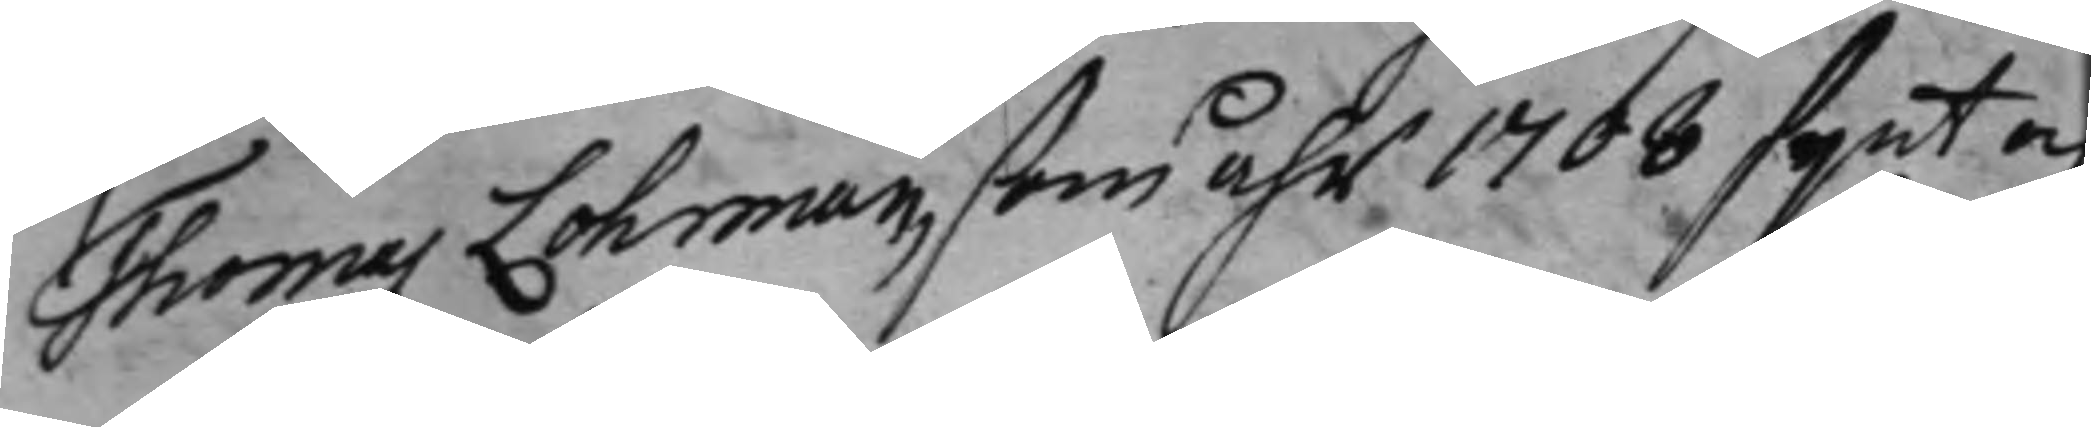Thomas Lohman, som åhr 1708 synt och
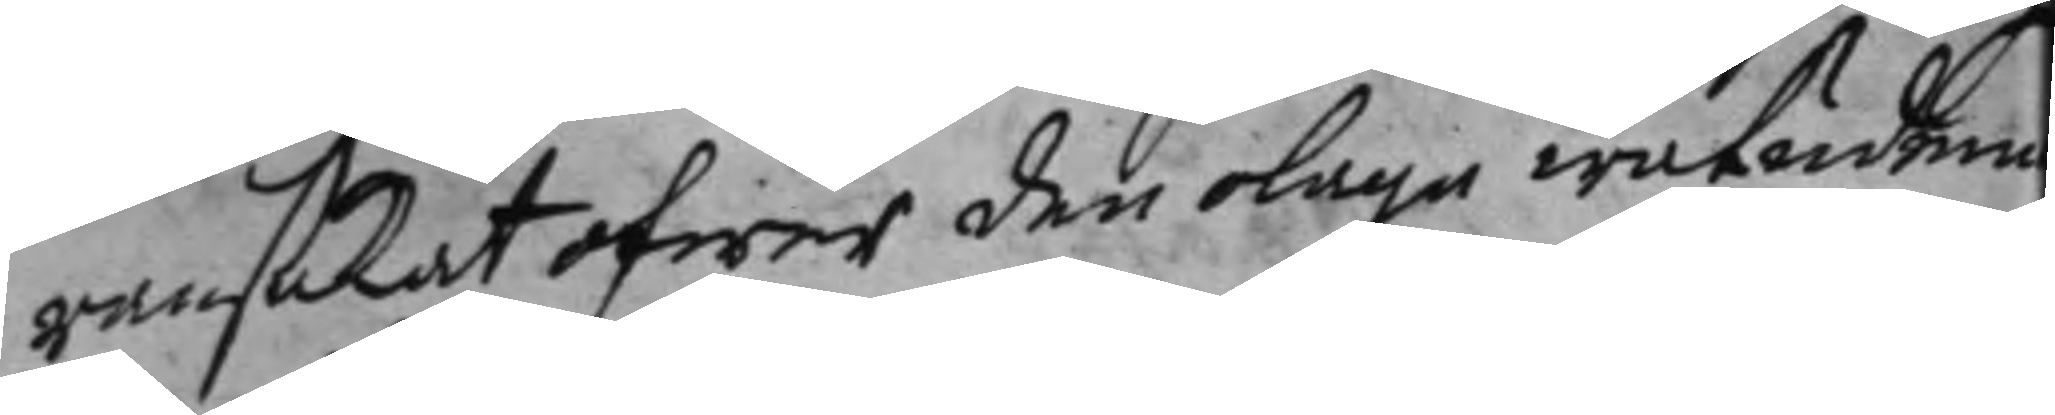ransakat ofwer den olaga watudem
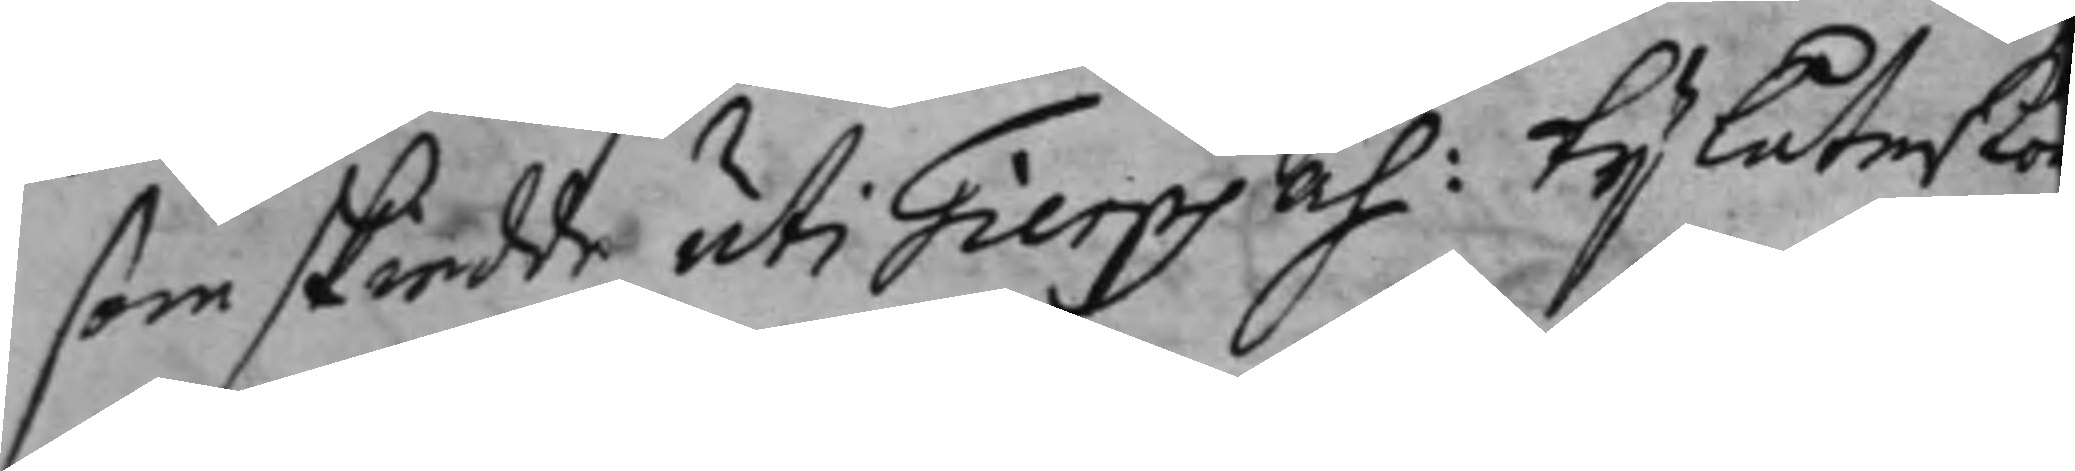som skiedde uti Tierps åh: ty låter Ko
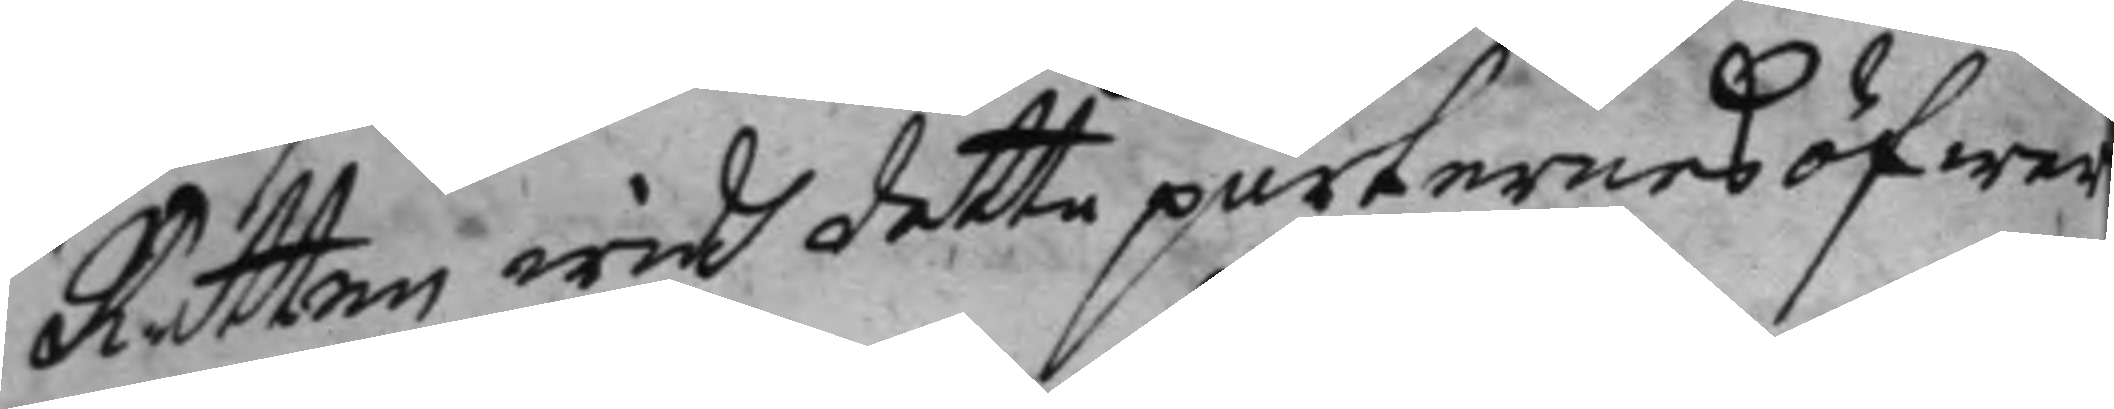Rätten widh detta parternes öfwer¬
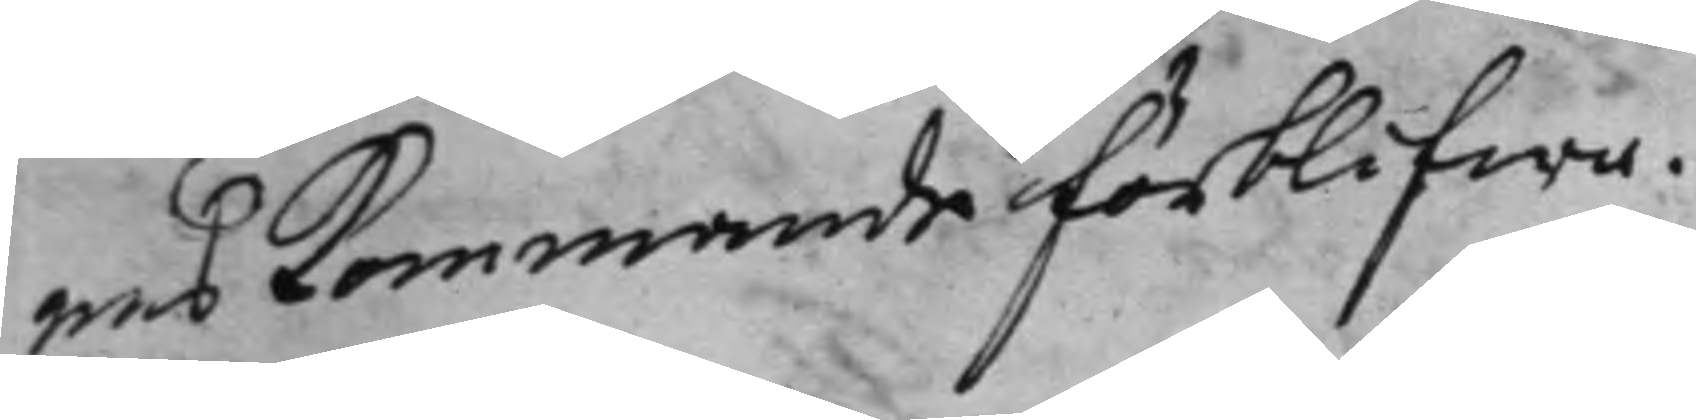enskommande förblifwa.
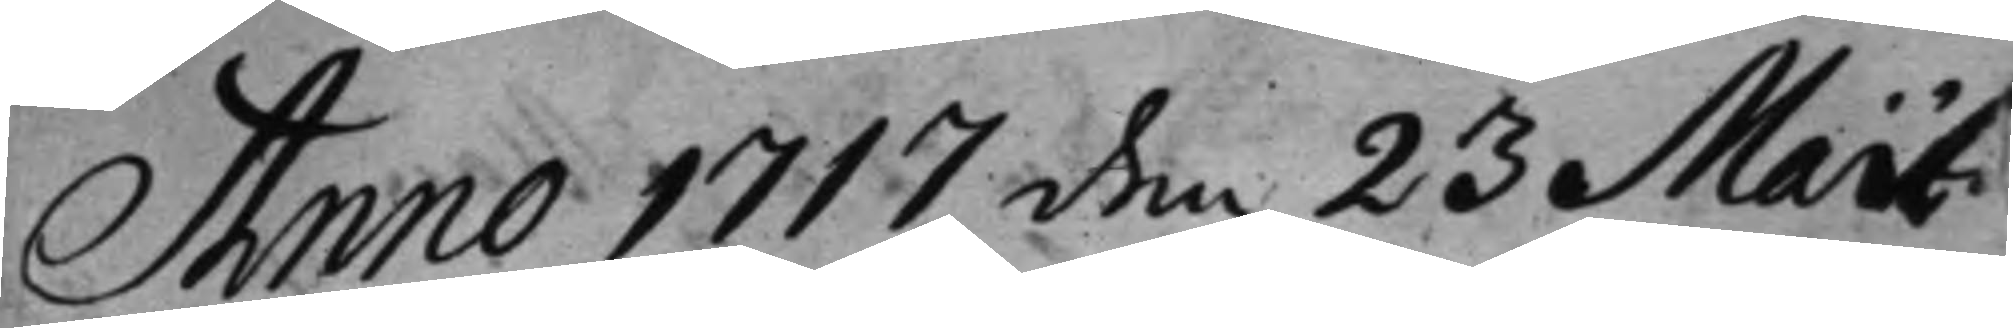Anno 1717 den 23 Maii
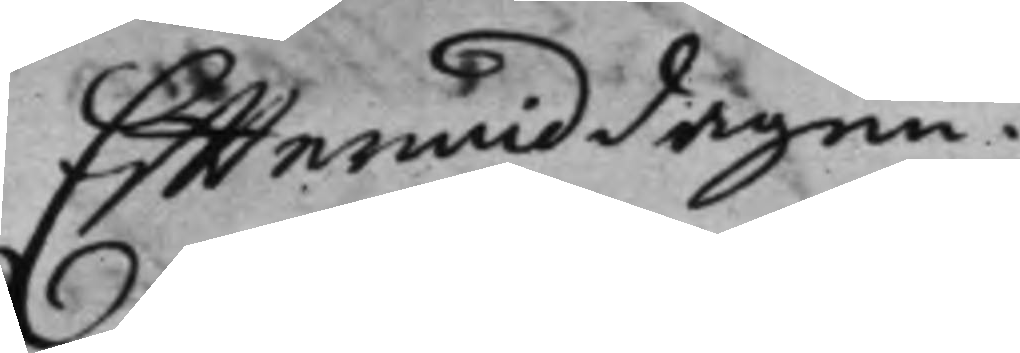Efftermiddagen.
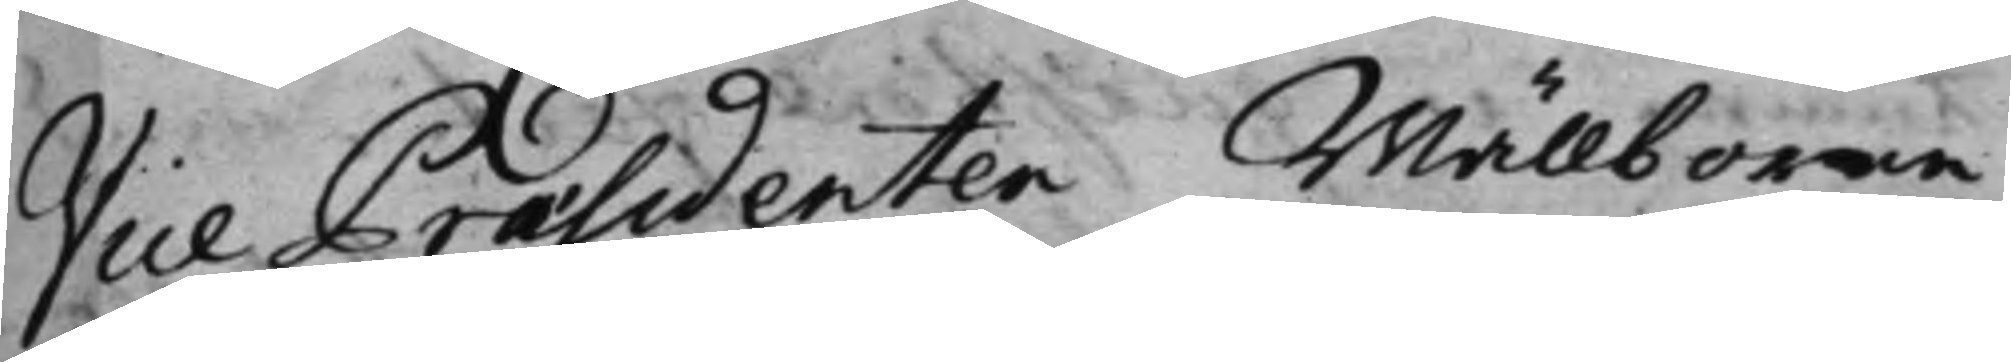Vice Präsidenten Wällborne
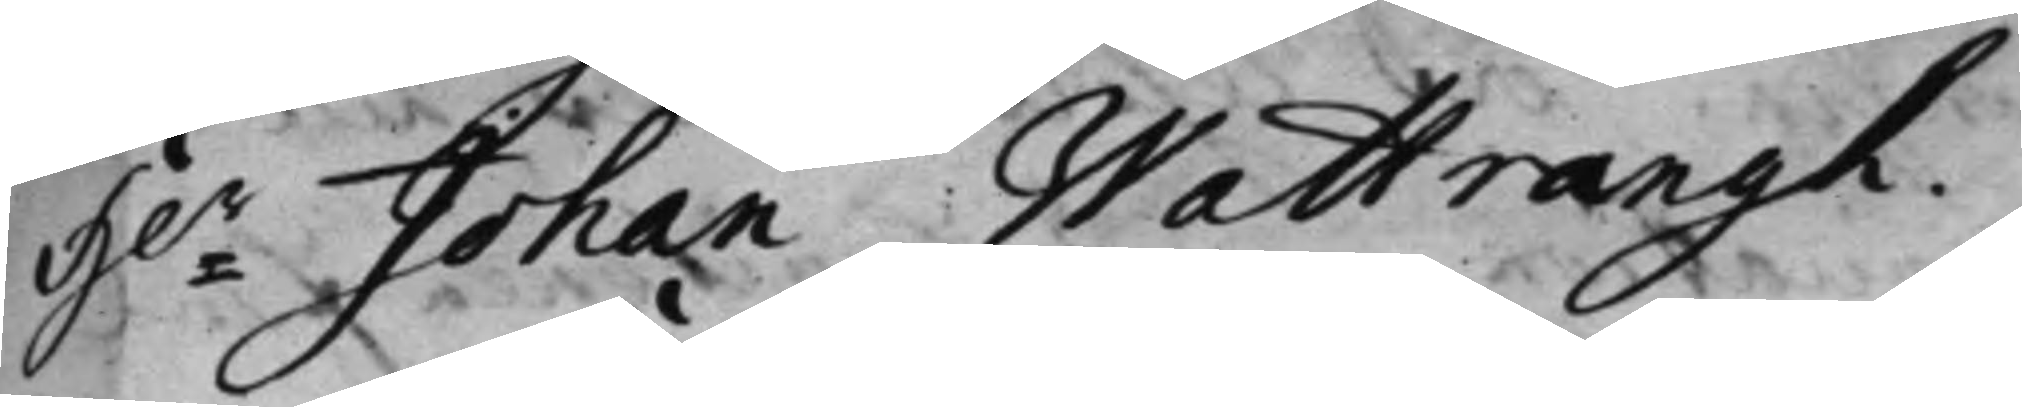Hr Johan Wattrangh.
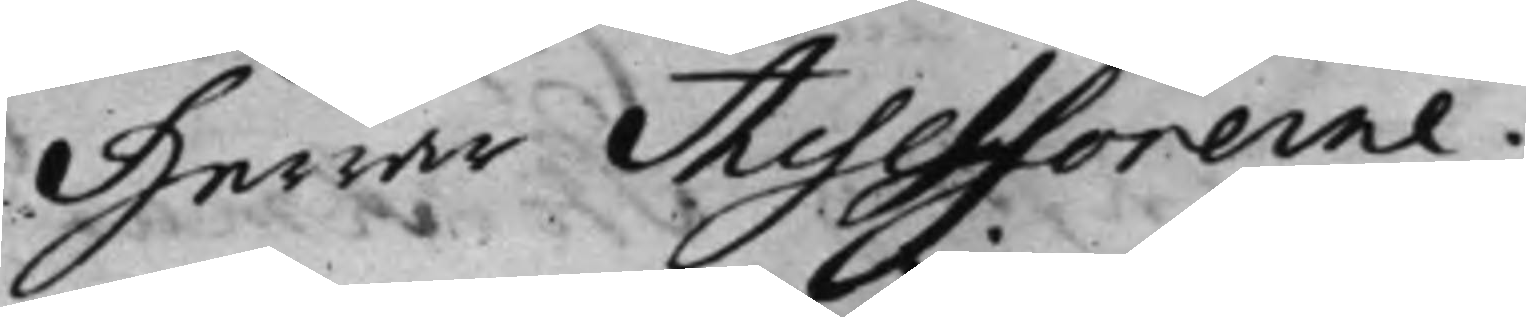Herrar Assessorerne.
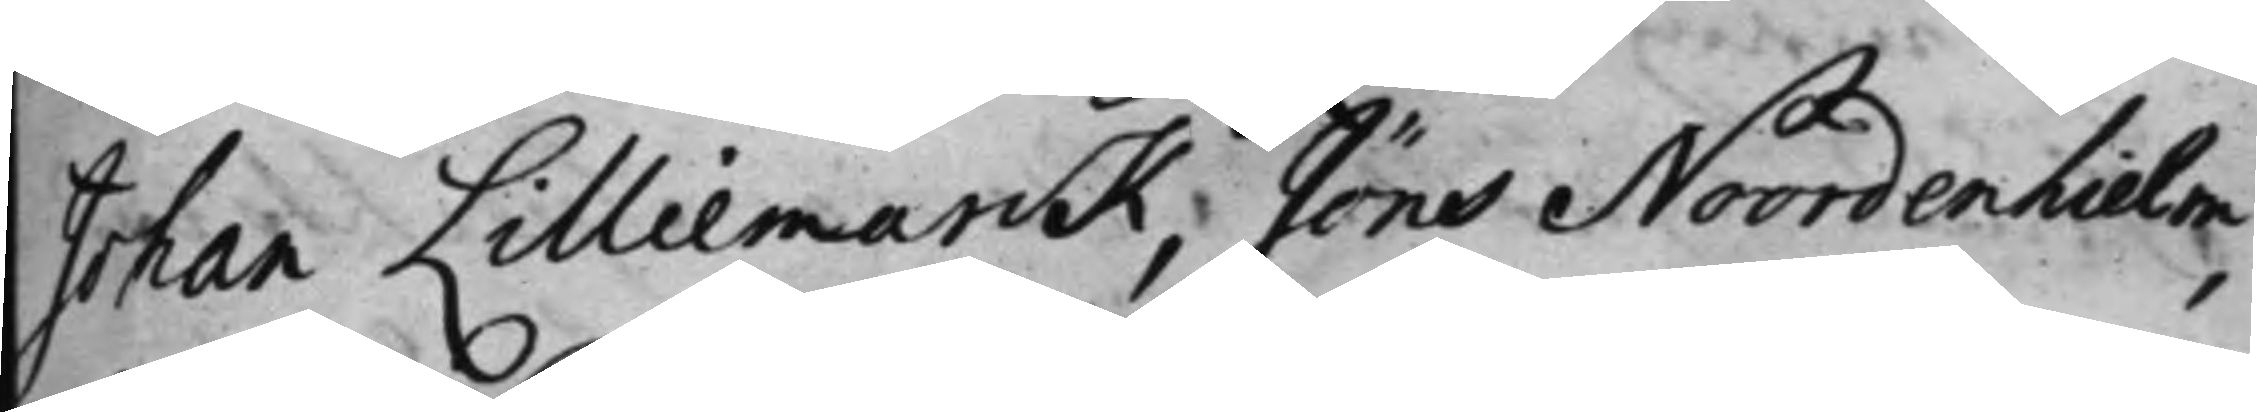Johan Lilliemarck, Jöns Noordenhielm,
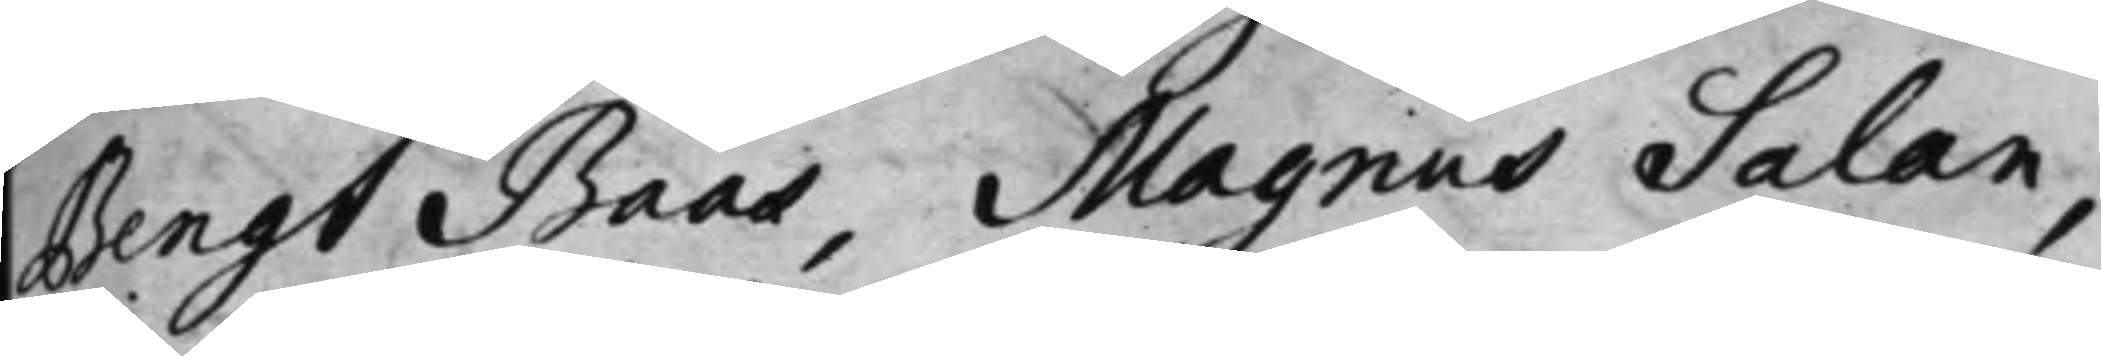Bengt Baas, Magnus Salan,
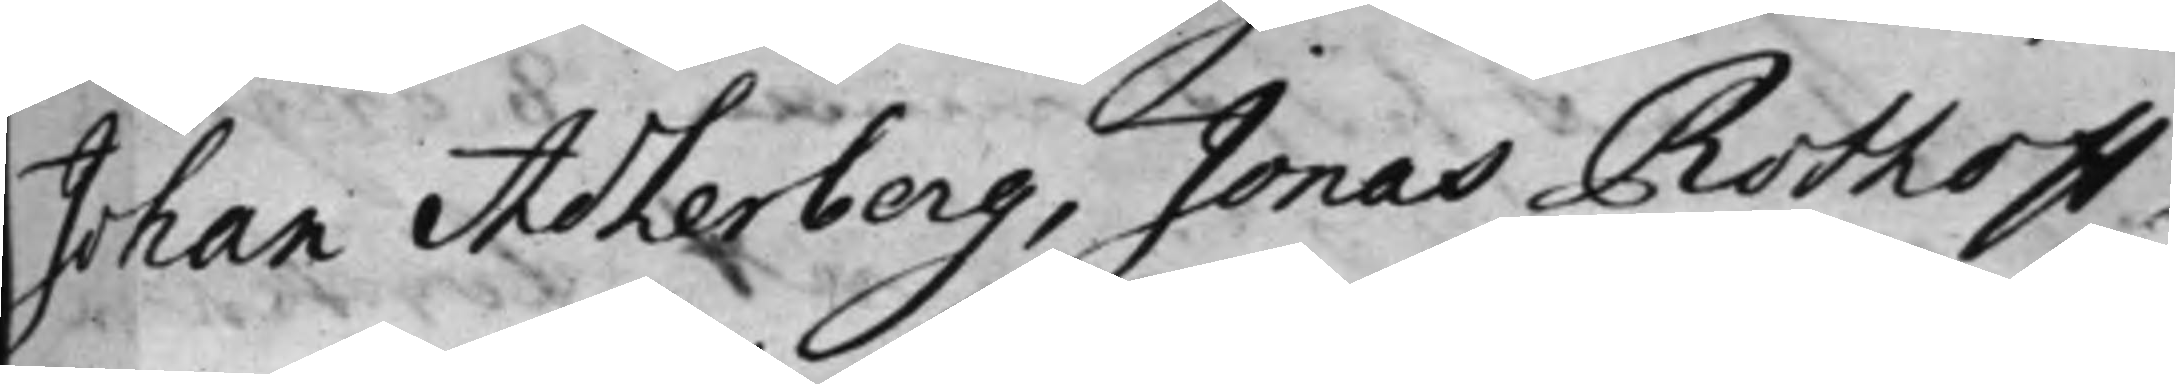Johan Adlerberg, Jonas Rothoff,
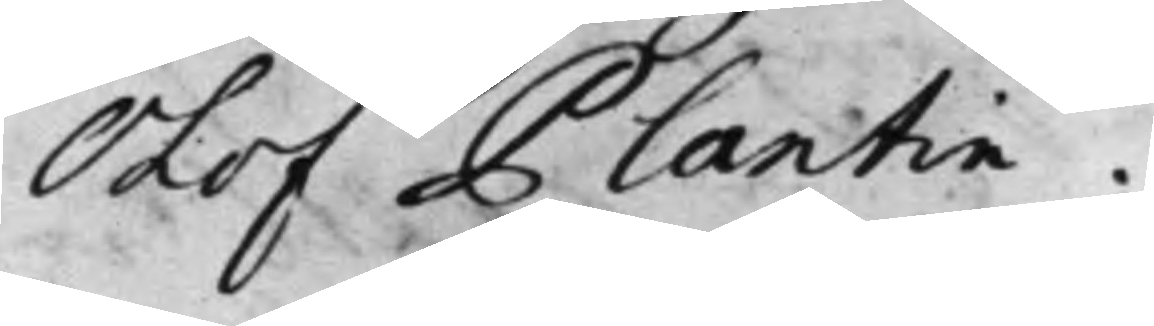Olof Plantin.
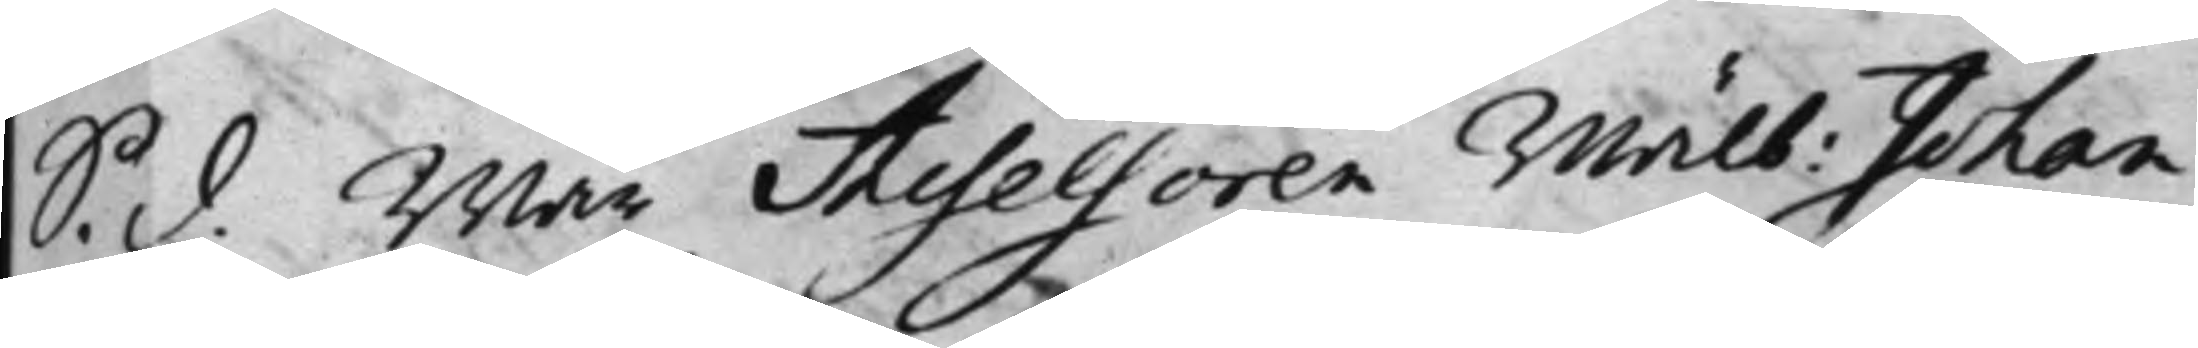S. D. war Assessoren wälb: Johan
